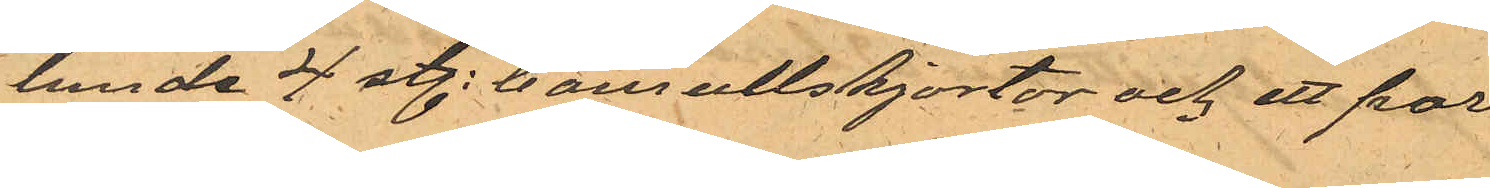lande 4 st. bomullskjortor och ett par
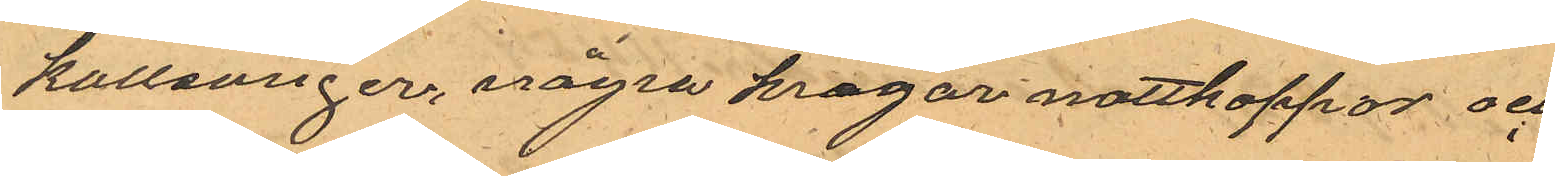kallsonger, några kragar nattkappor och
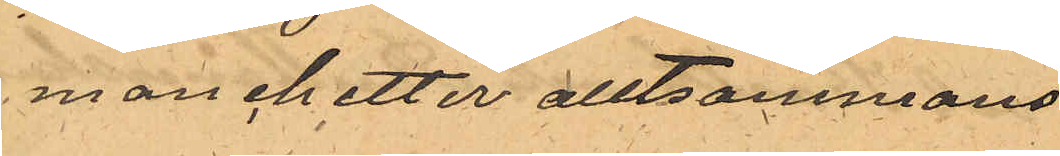manchetter alltsammans
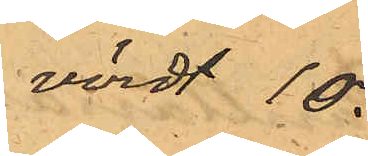värdt 10.
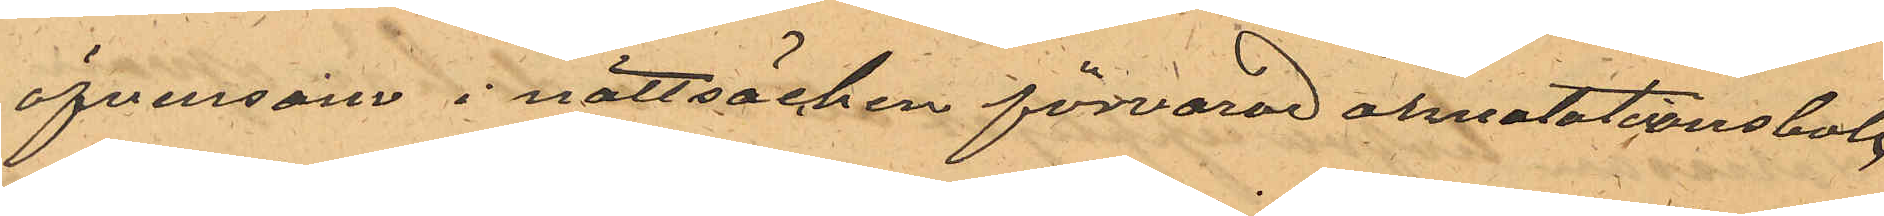äfvensom i nattsäcken förvarad annotationsbok
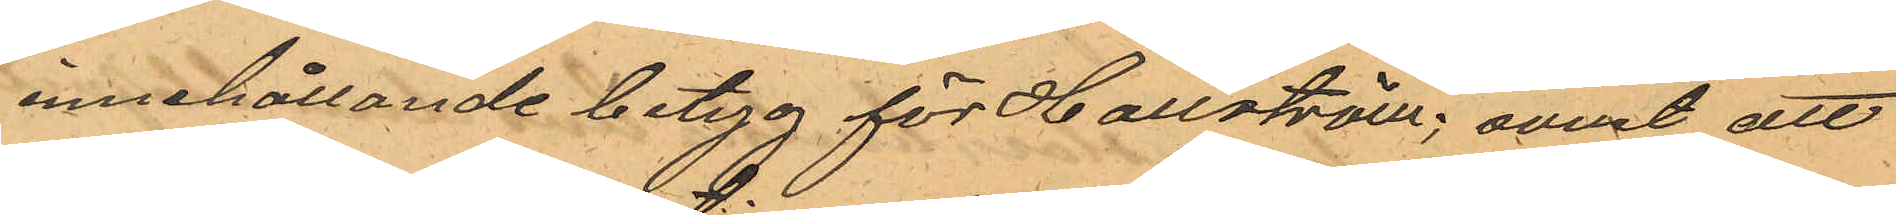innehållande betyg för Hallström; samt att
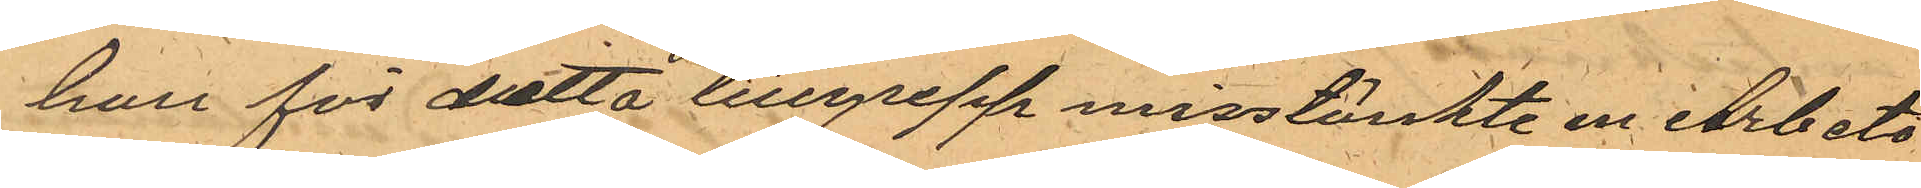han för detta tillgrepp misstänkte en Arbets¬
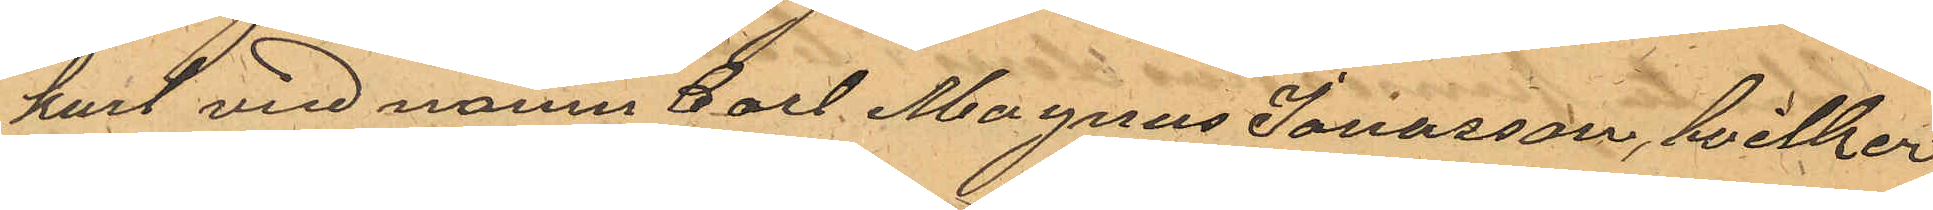karl vid namn Carl Magnus Jonasson, hvilken
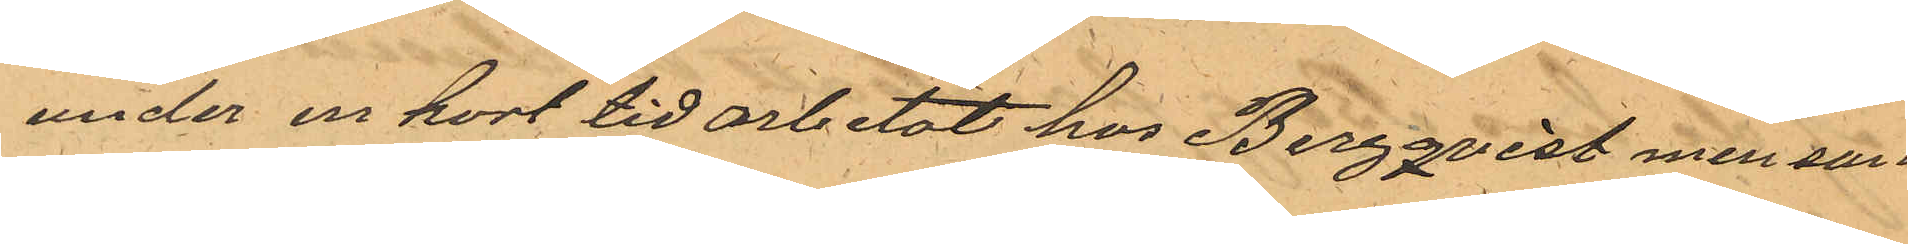under en kort tid arbetat hos Bergqvist men sam¬
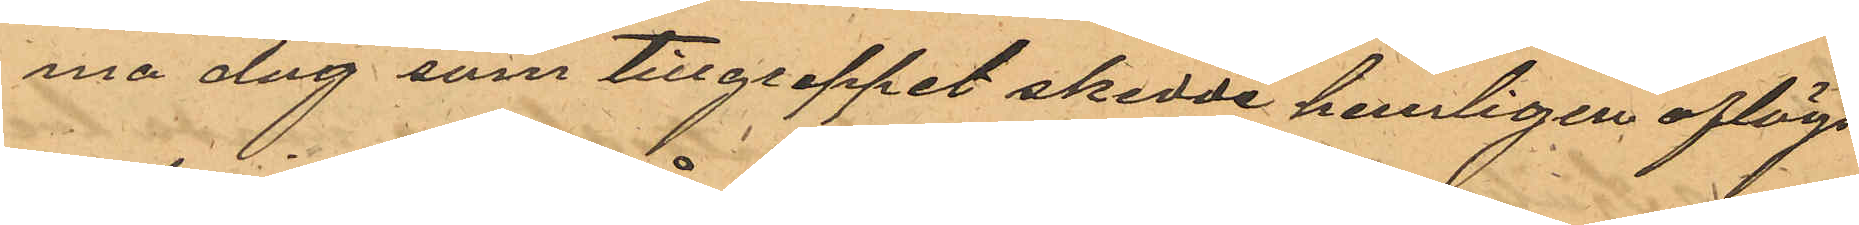ma dag som tillgreppet skedde hemligen aflägs¬
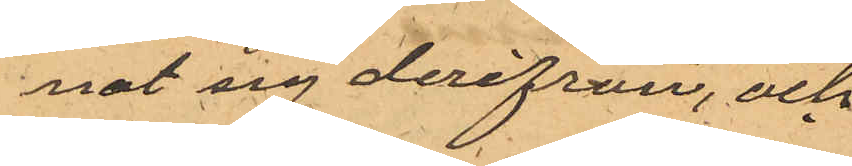nat sig derifrån, och
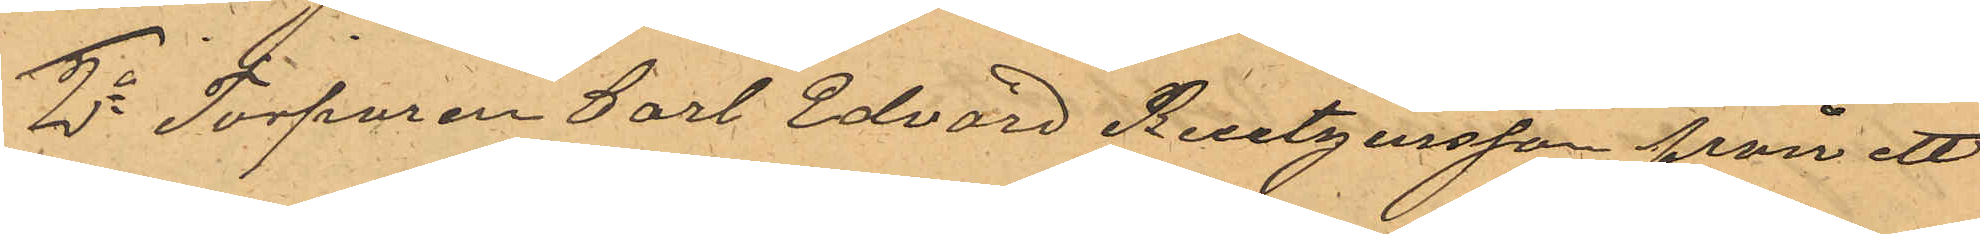2o Torparen Carl Edvard Reutgersson från ett
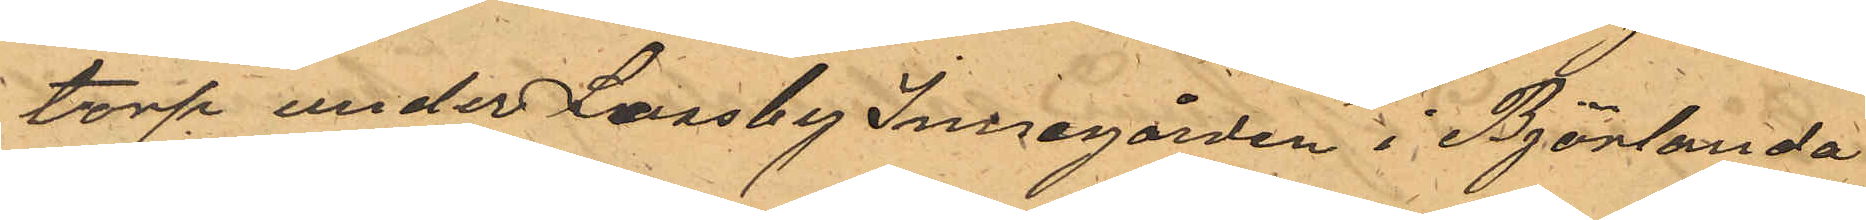torp under Lossby Innegården i Björlanda
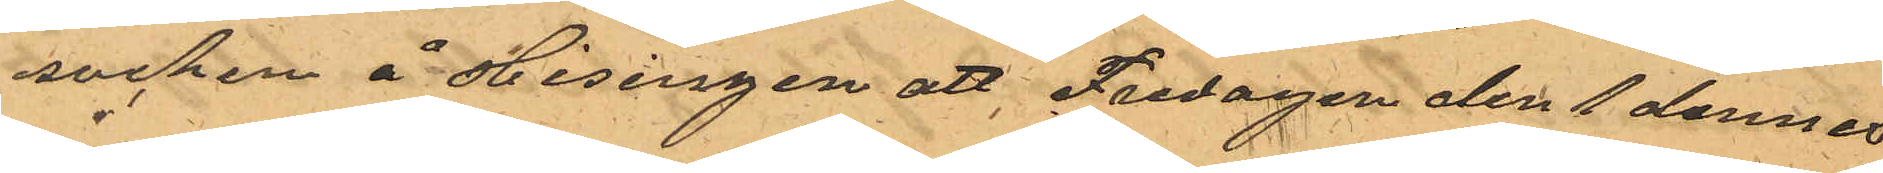socken å Hisingen att Fredagen den 1 dennes
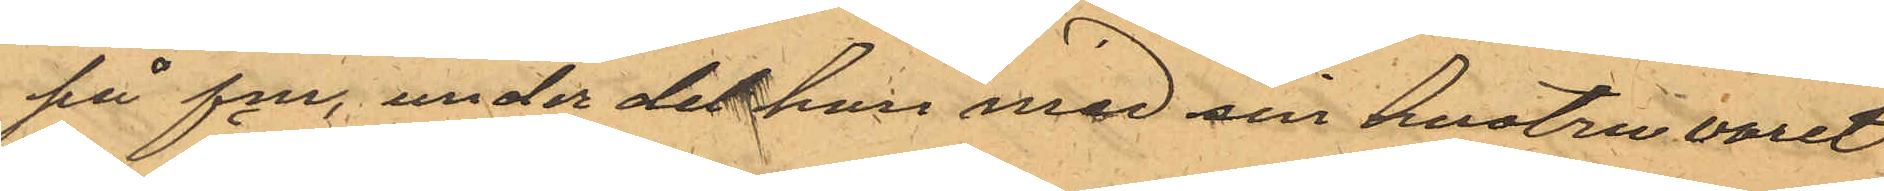på f.m., under det han med sin hustru varit
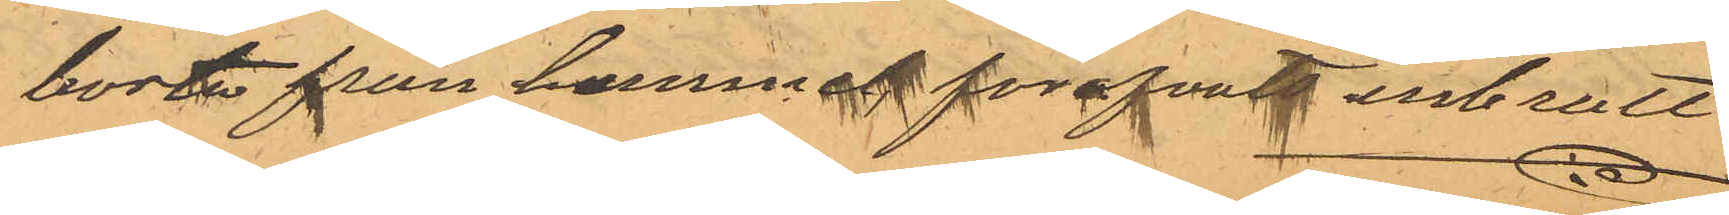borta från hemmet förofvats inbrott
